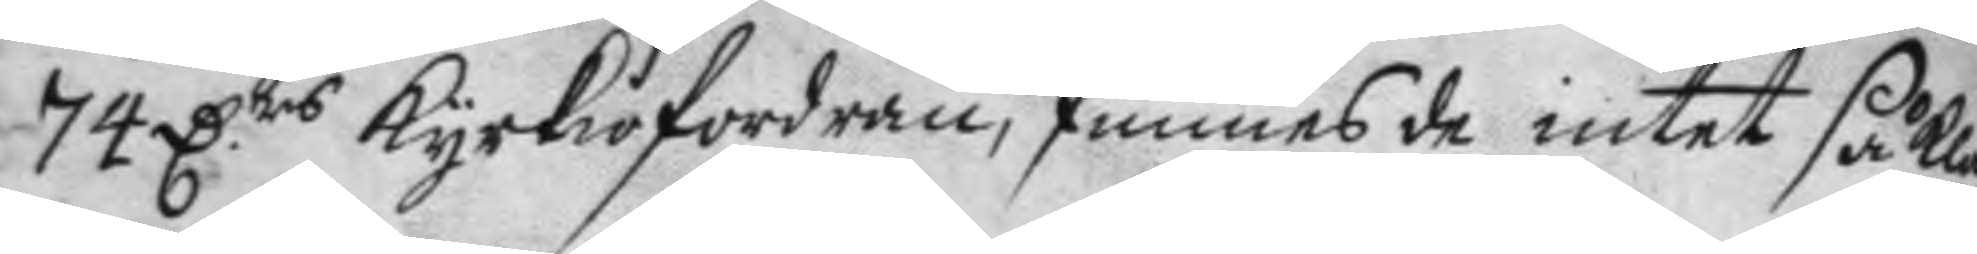74 Drs kyrkiofordran, funnes de intet så kla¬
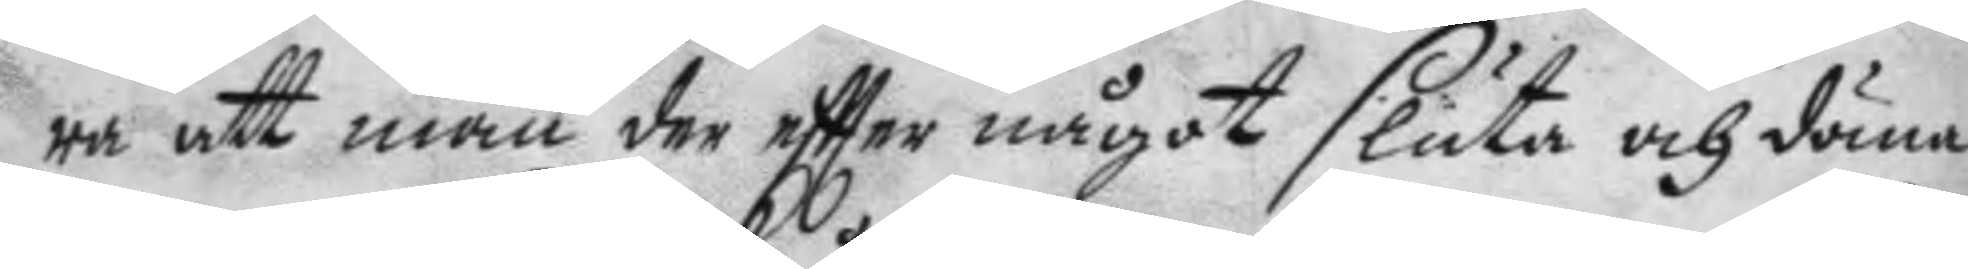ra att man der eftter något sluta och döma
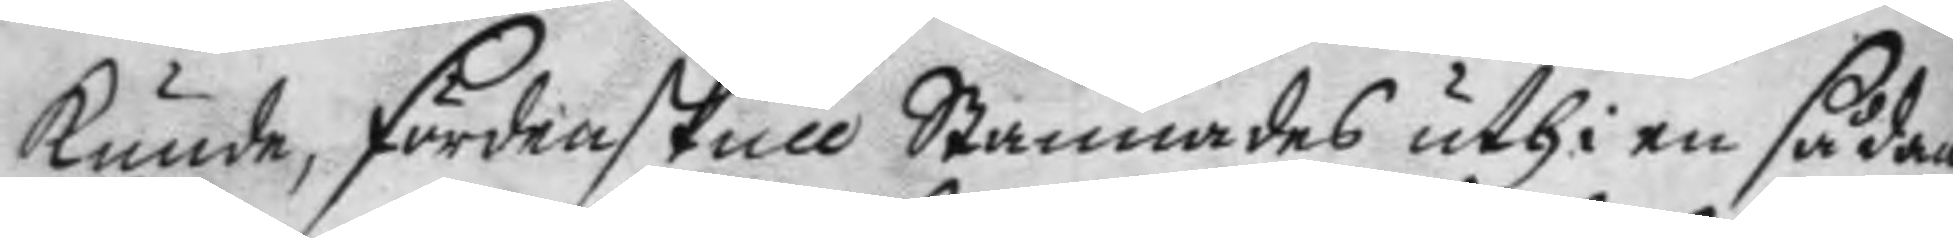kunde, fördenskull Stannades uthi en sådan
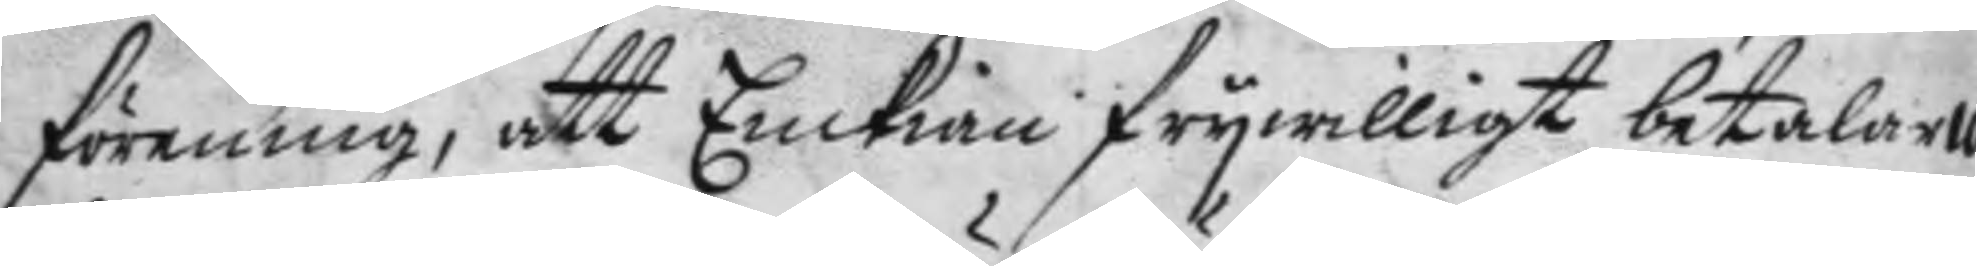förening, att Enkian frywilligt betalar 10
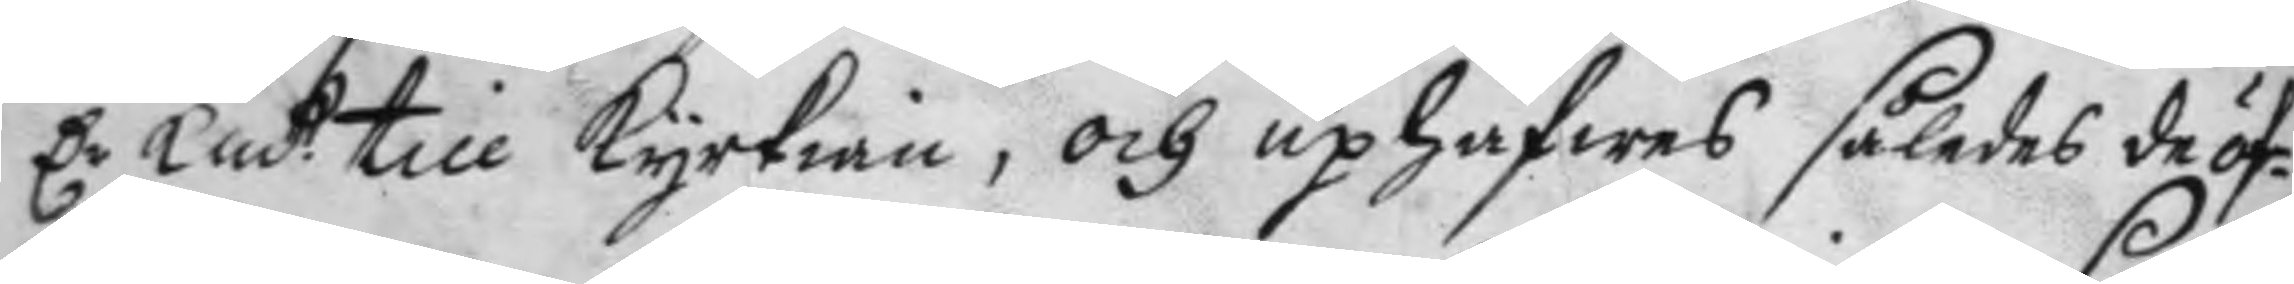Dr Kmtt till kyrkian, och uphäfwes således de öf¬
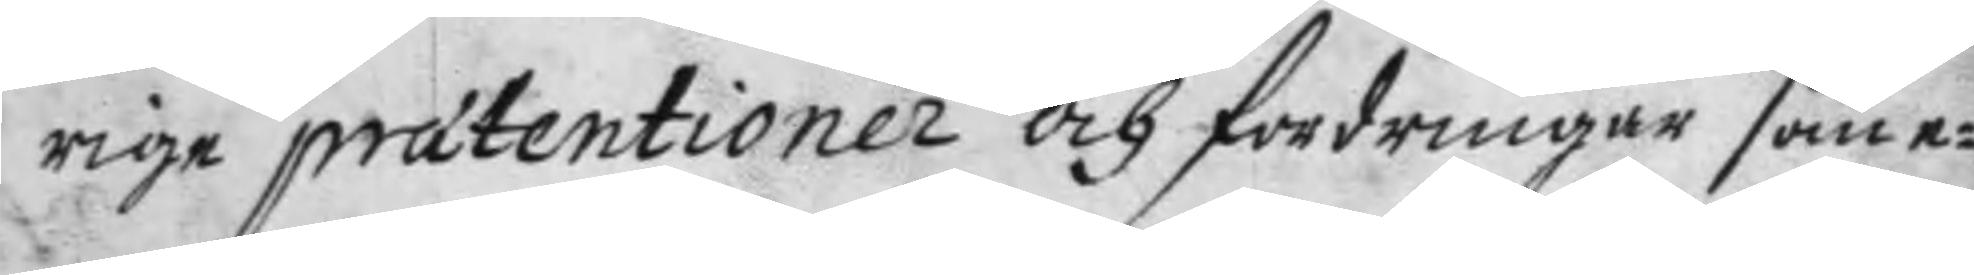rige prætentioner och fordringar som e¬
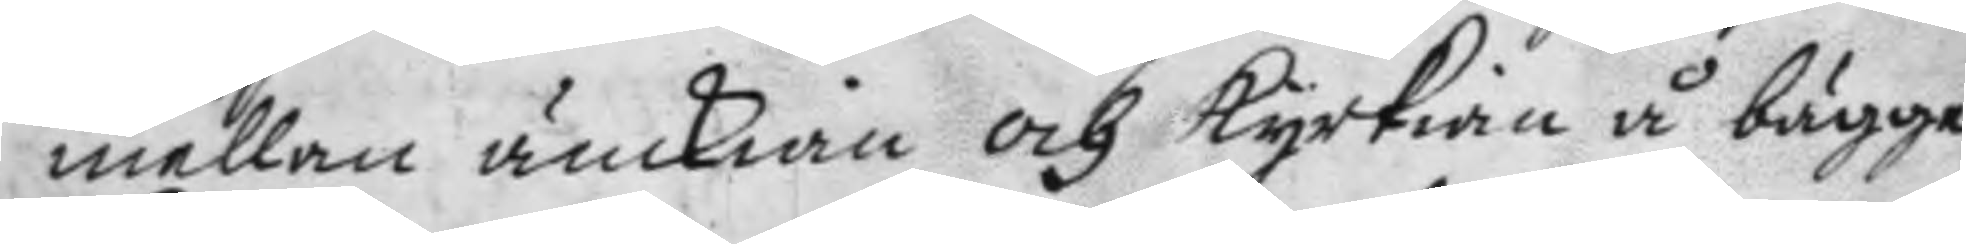mellan änckian och kyrkian å bägge
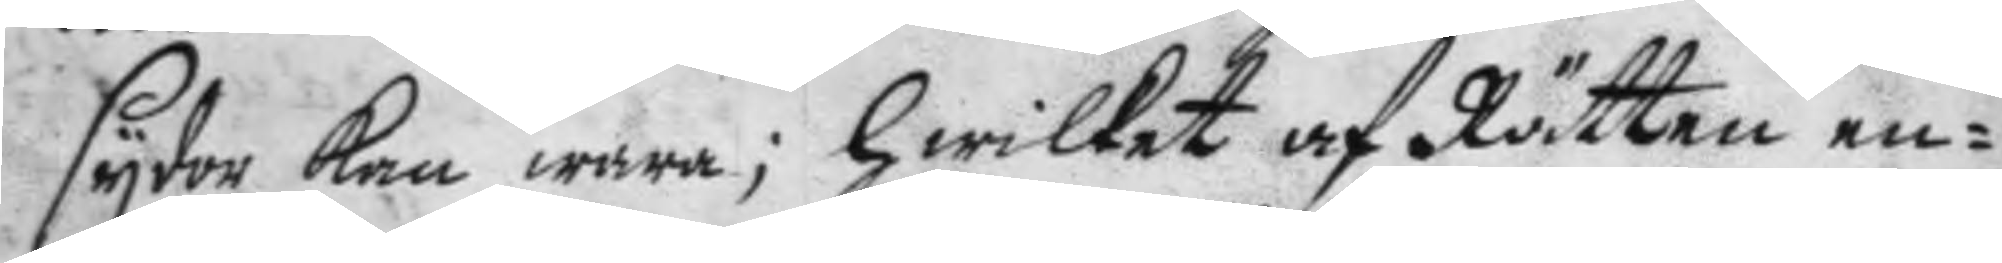sydor kan wara; hwilket af Rätten en¬
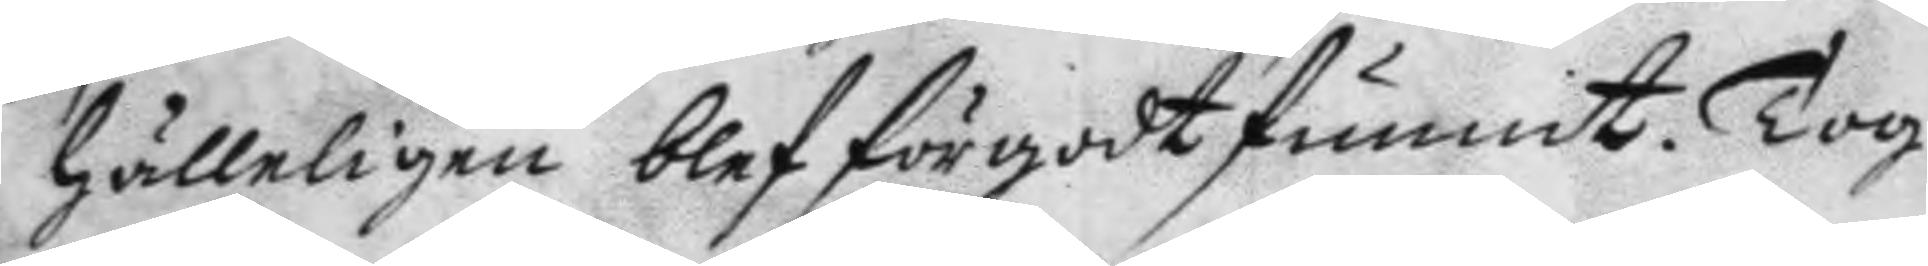hälligen blef förgodt funnit. Tog
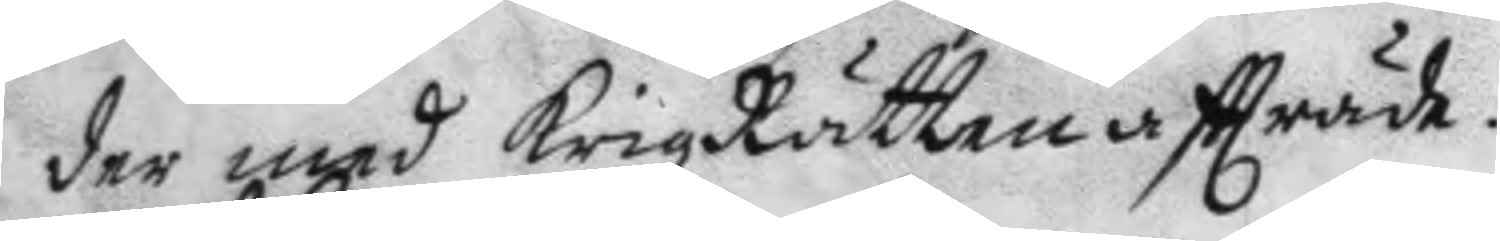der med krigzRätten aftträde.
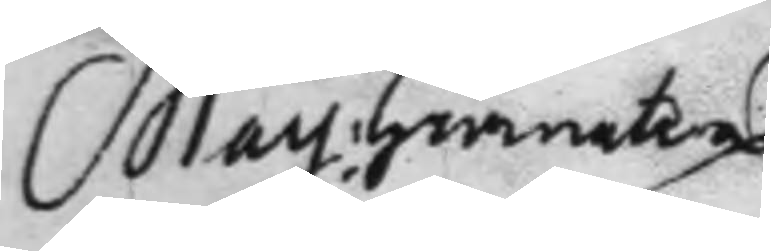May: Granaten¬
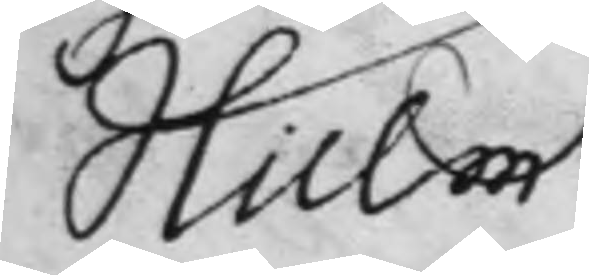hielm
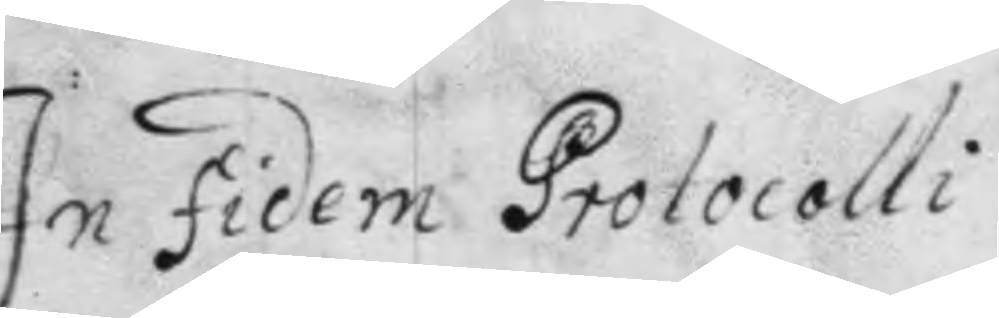In fidem Protocolli
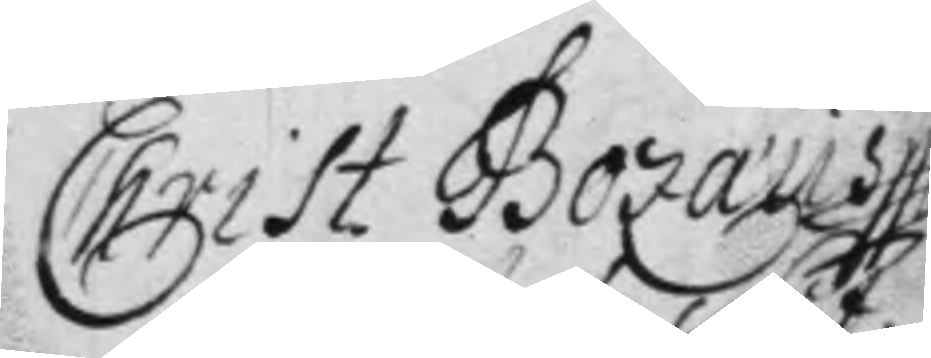Christ. Bozaus
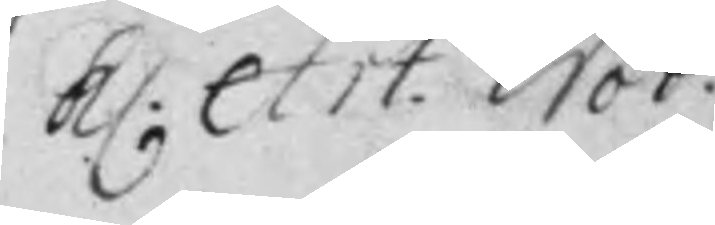kl. Art. Not.
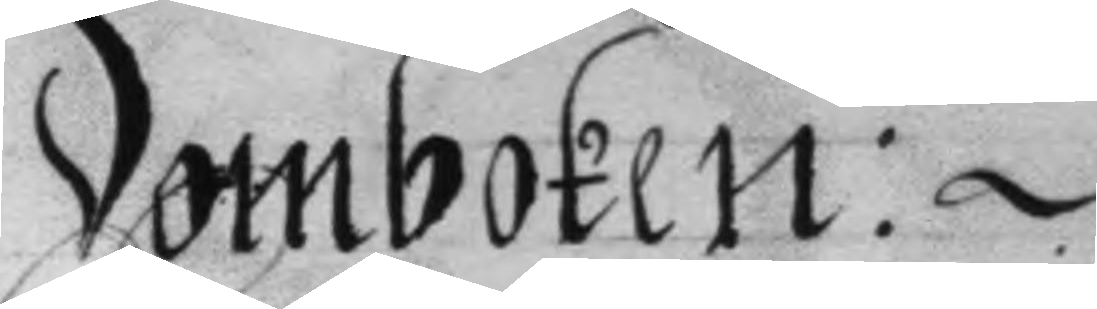Domboken:
